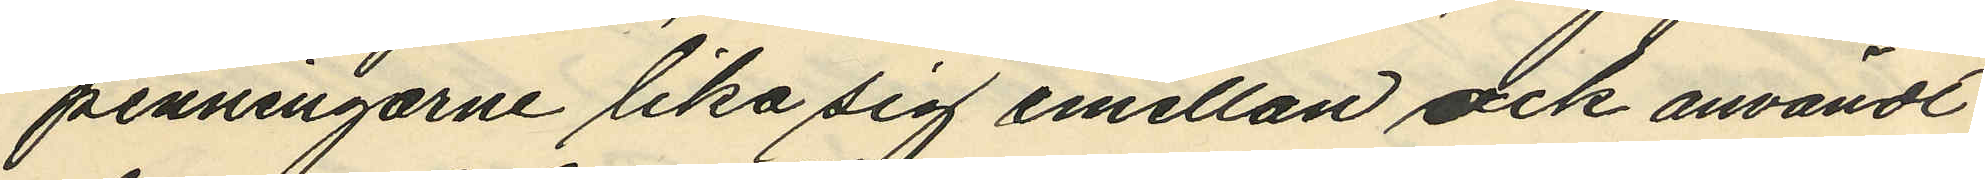penningarne lika sig emellan ock användt
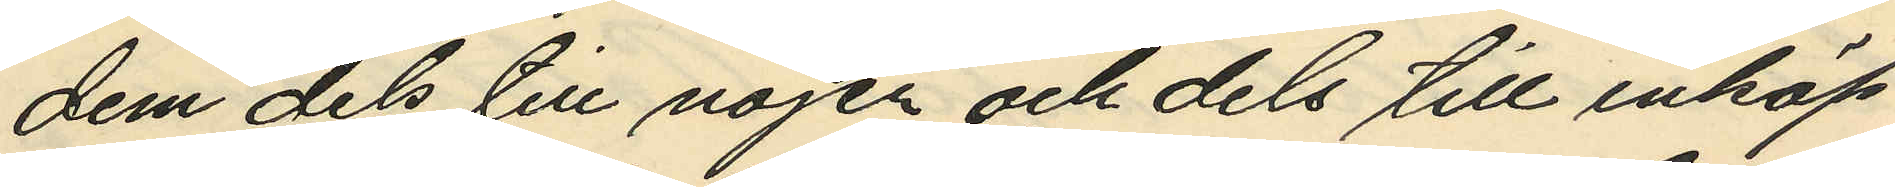dem dels till nöjen och dels till inköp
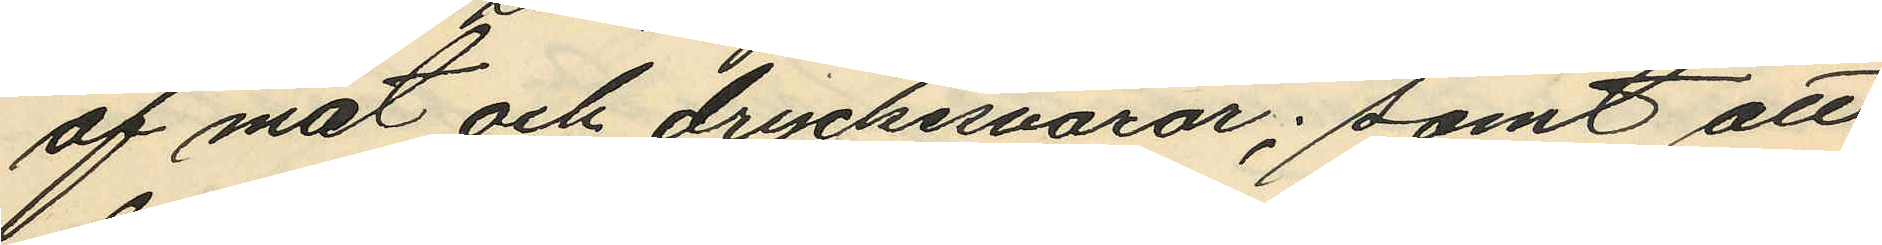af mat och dryckesvaror; samt att
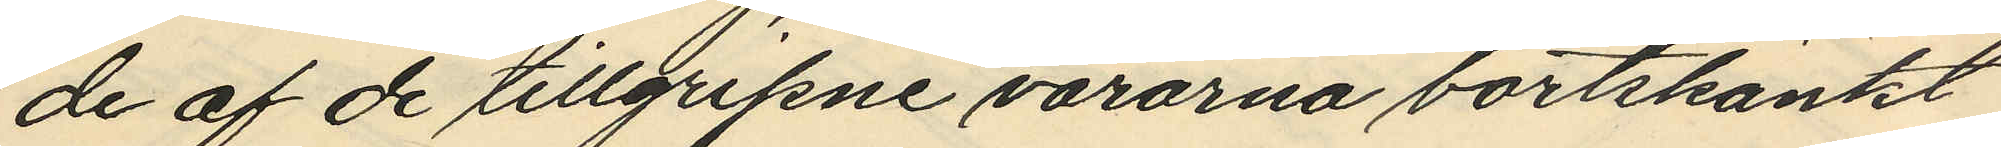de af de tillgripne varorna bortskänkt
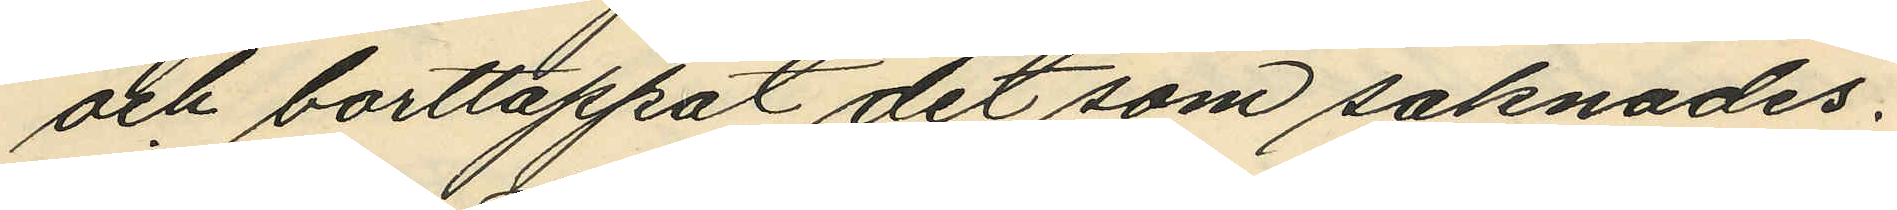och borttappat det som saknades.
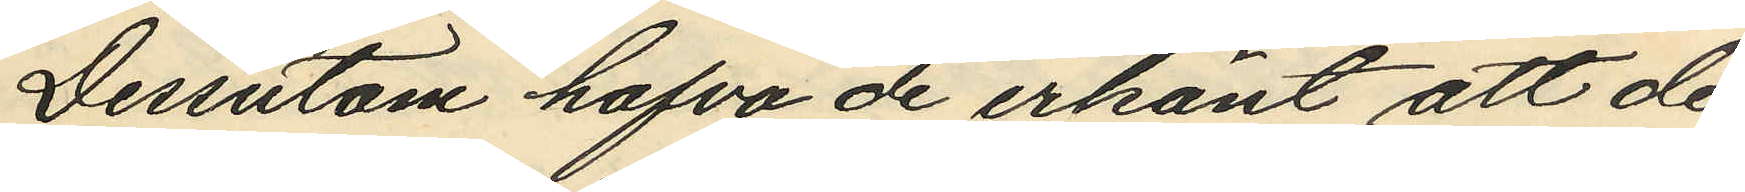Dessutom hafva de erkänt att de
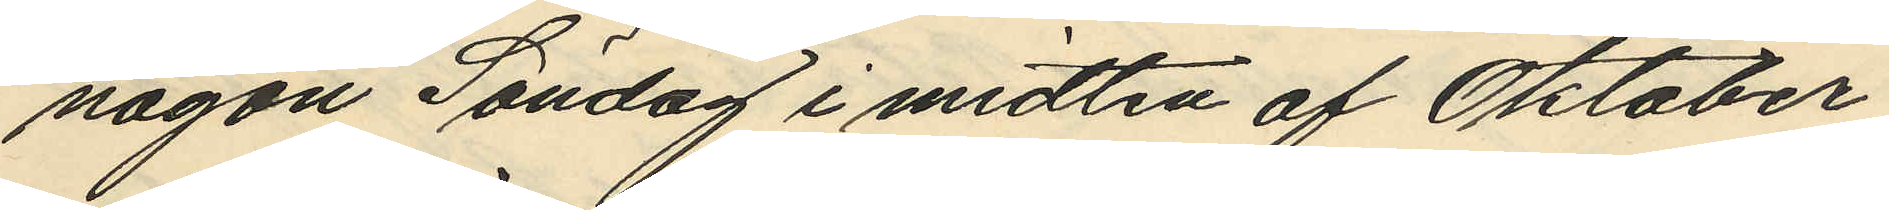någon Söndag i midten af Oktober
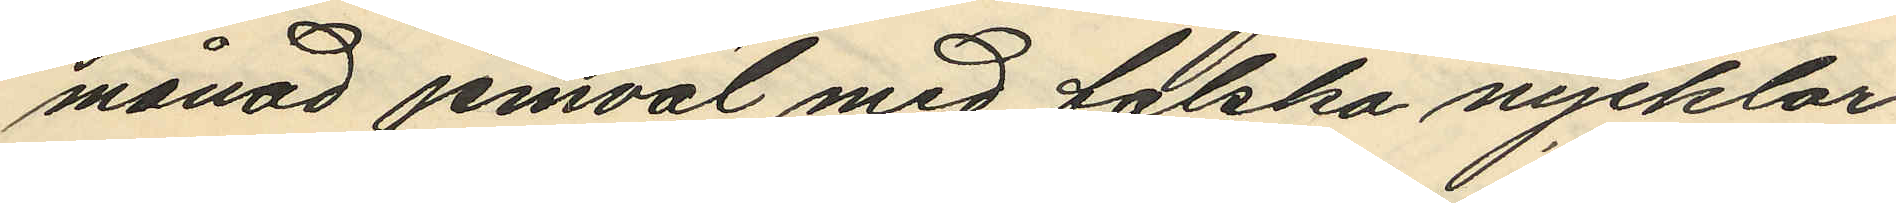månad jemväl med falska nycklar
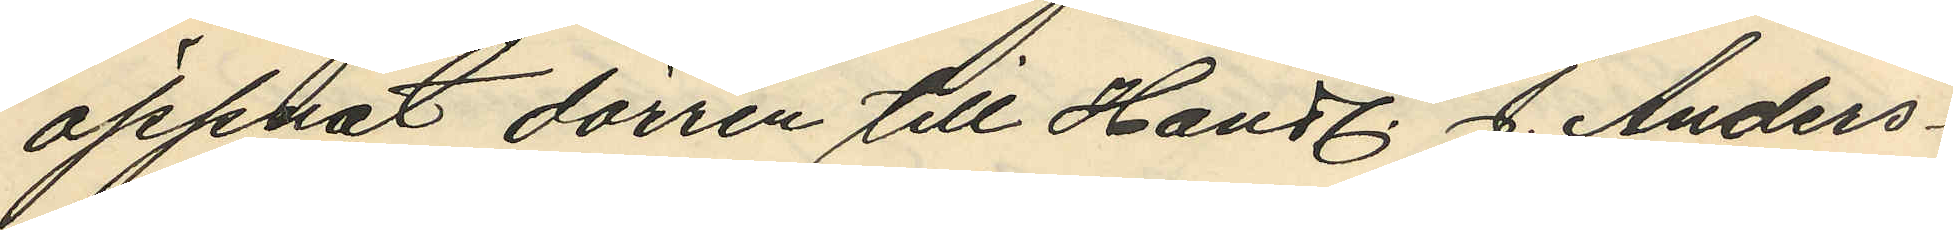öppnat dörren till Handl. J. Anders¬
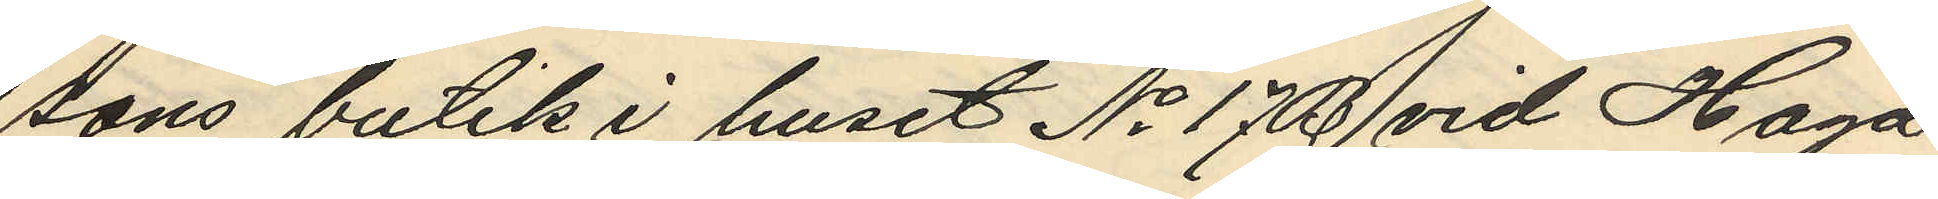sons butik i huset No 17 B vid Haga
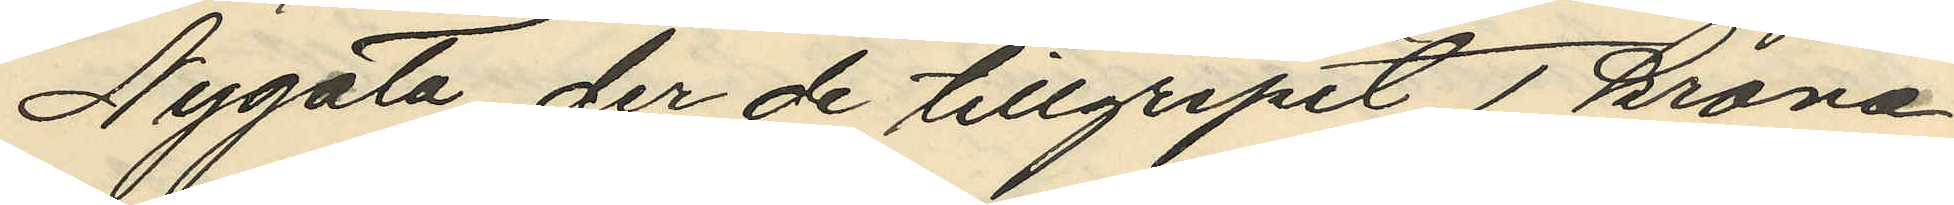Nygata, der de tillgripit 1 krona
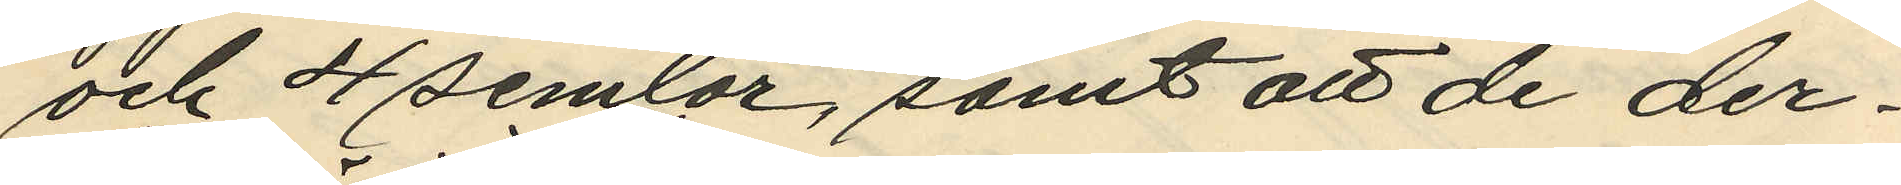och 4 semlor, samt att de der¬
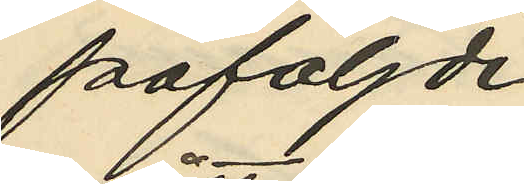påföljde
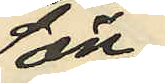Sön
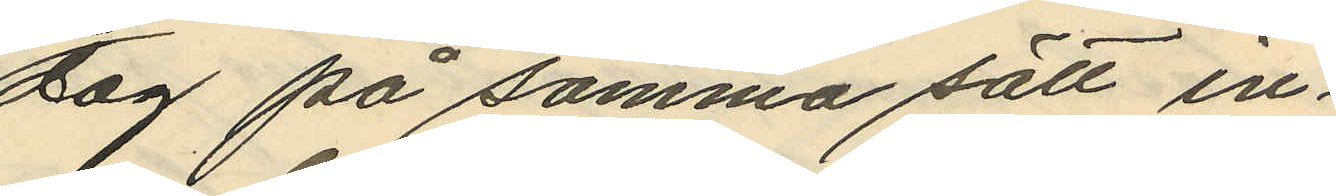dag på samma sätt in¬
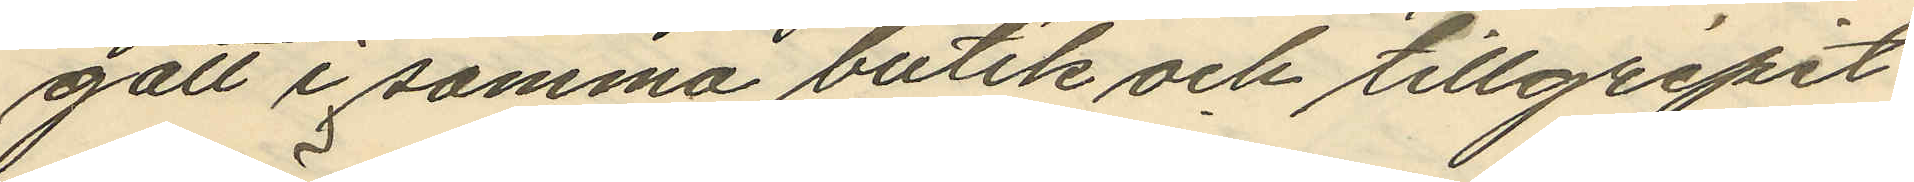gått i samma butik och tillgripit
